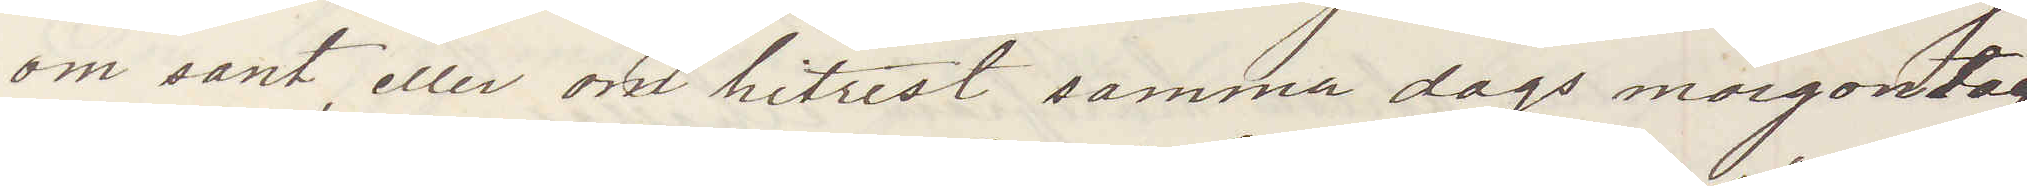om sant eller om hitrest samma dags morgontåg
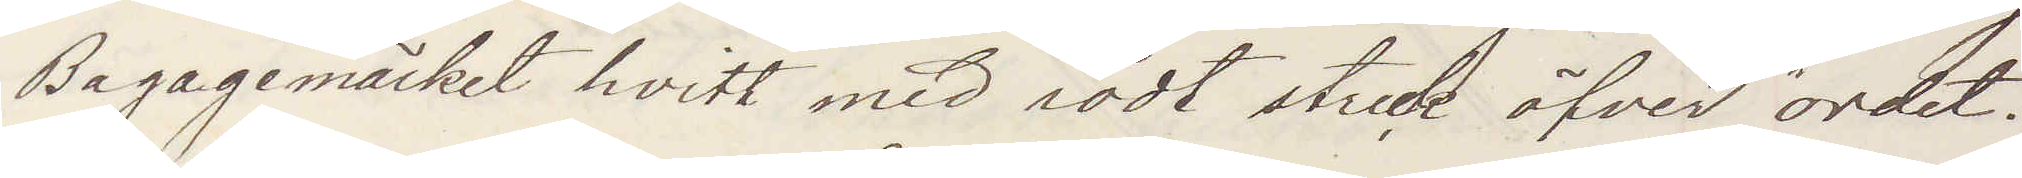Bagagemärket hvitt med rödt streck öfver "ordet"
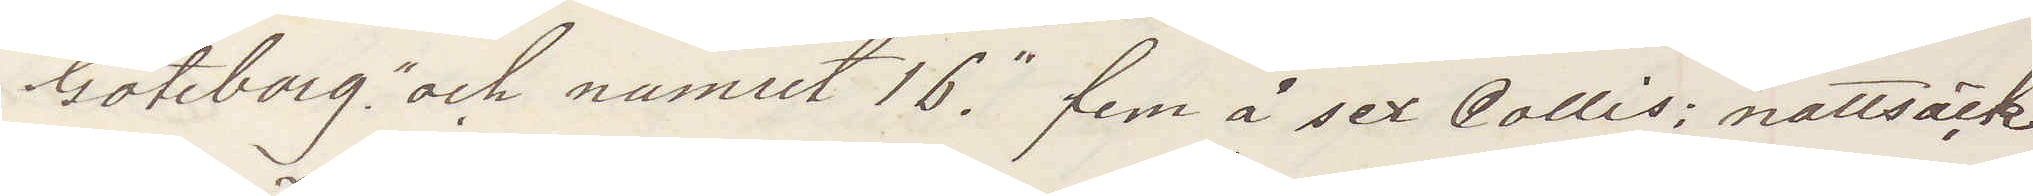"Göteborg" och numret 16." fem å sex Collis; nattsäck
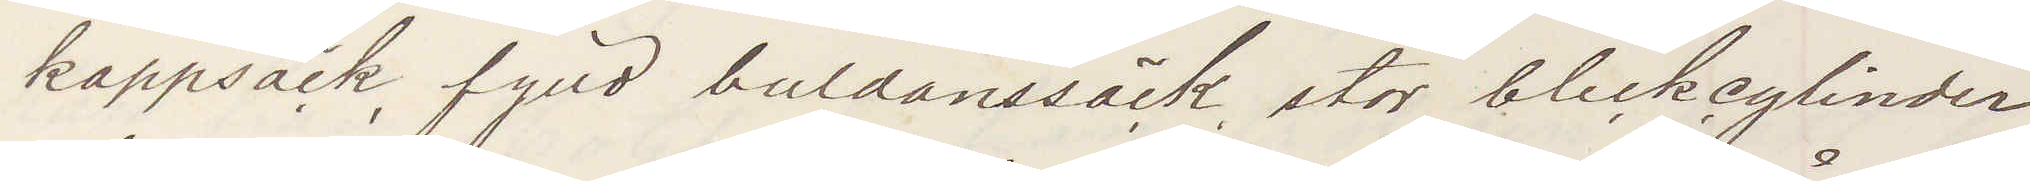kappsäck, fylld buldanssäck stor bleckcylinder
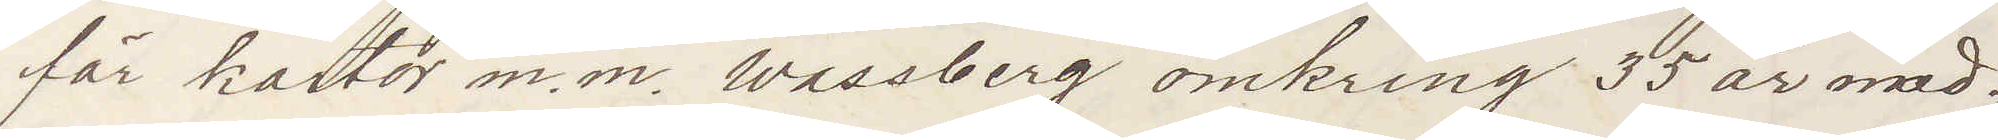för kartor m. m. Wassberg omkring 35 år med¬
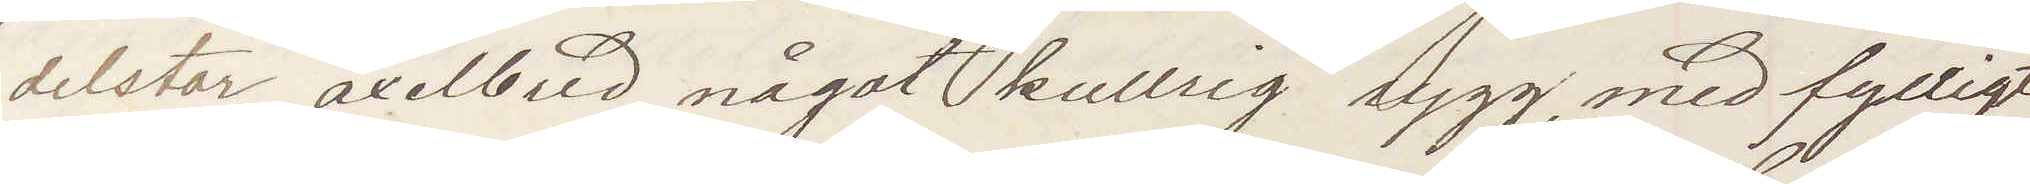delstor, axelbred, något kullrig rygg, med fylligt
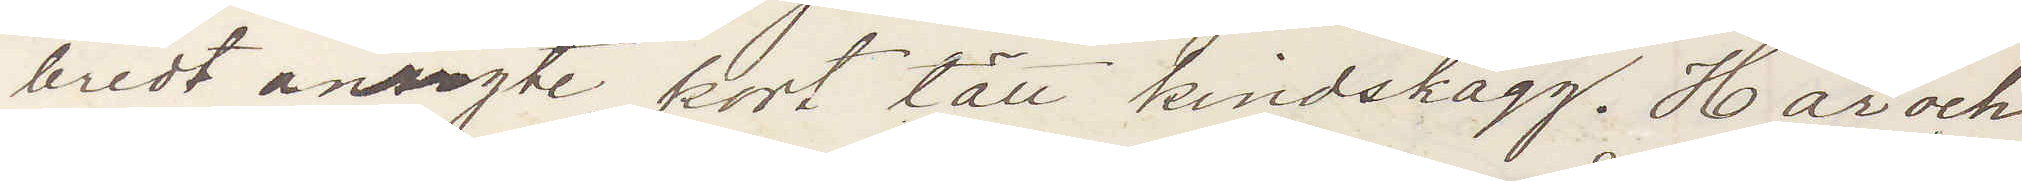bredt ansigte, kort lätt kindskägg. Hår och
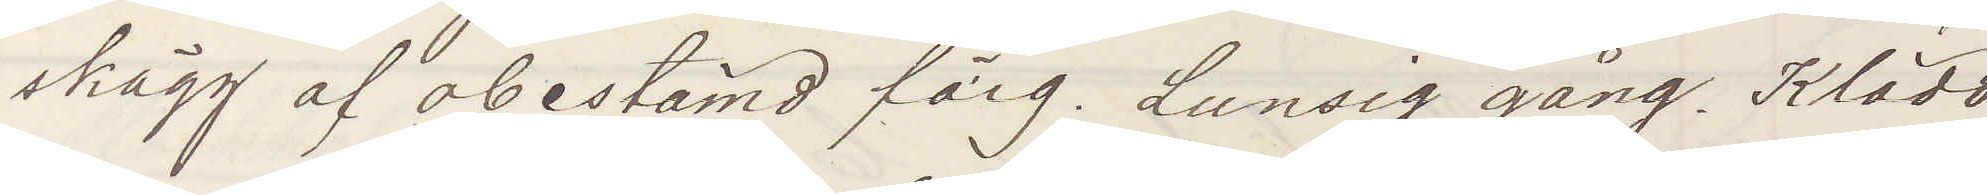skägg af obestämd färg. Lunsig gång. Klädd
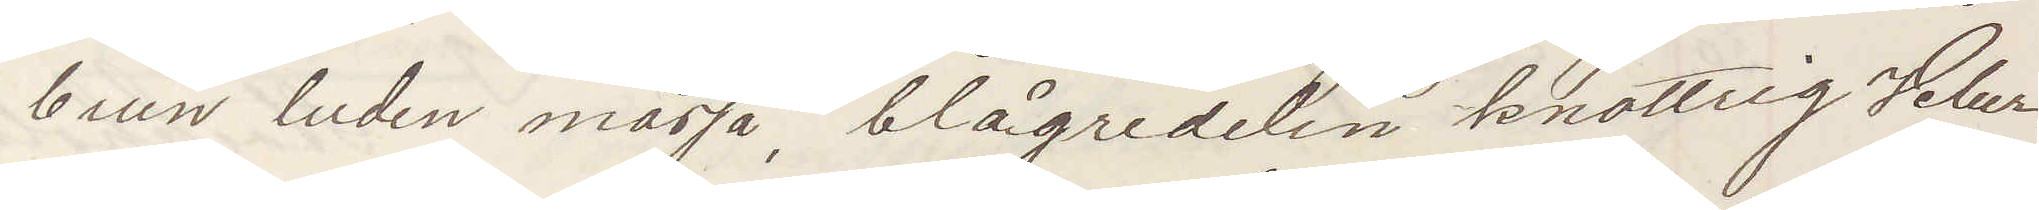brun luden mössa, blågredelin knottrig Velur¬
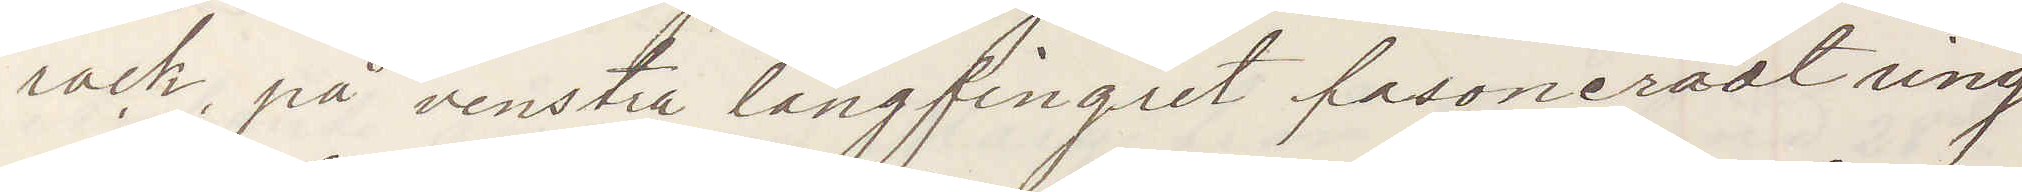rock, på venstra långfingret fasoneradt ring
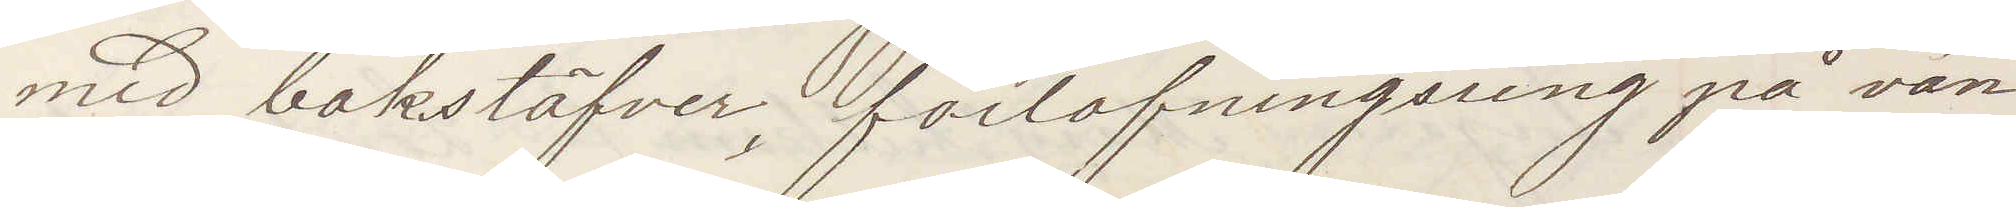med bokstäfver, förlofningsring på van¬
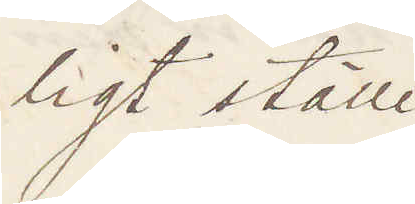ligt ställe
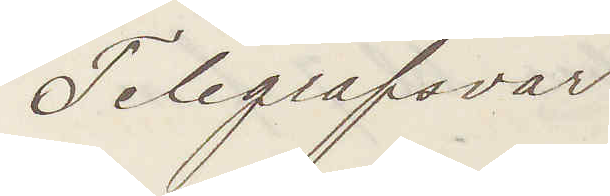Telegrafsvar
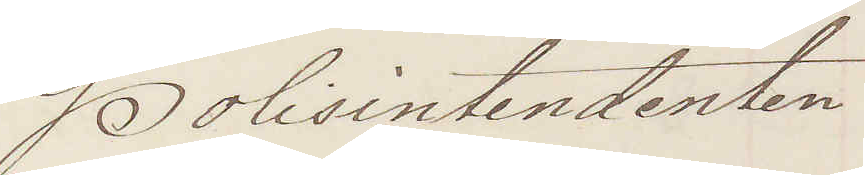Polisintendenten
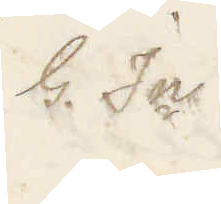G In
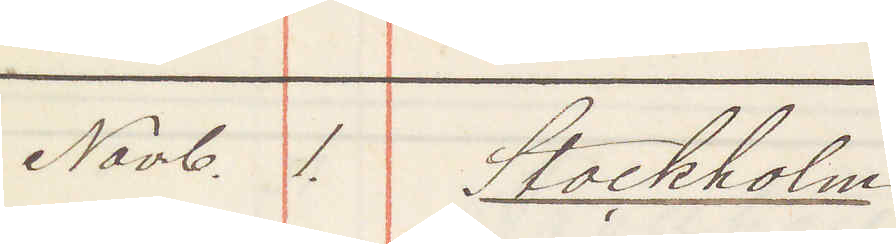Novb. 1. Stockholm
